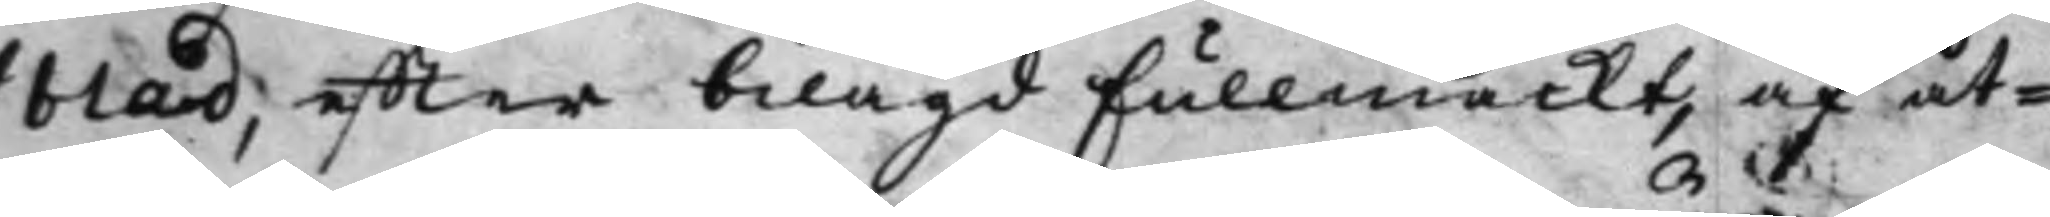blad, effter bilagd Fullmackt, af åt¬
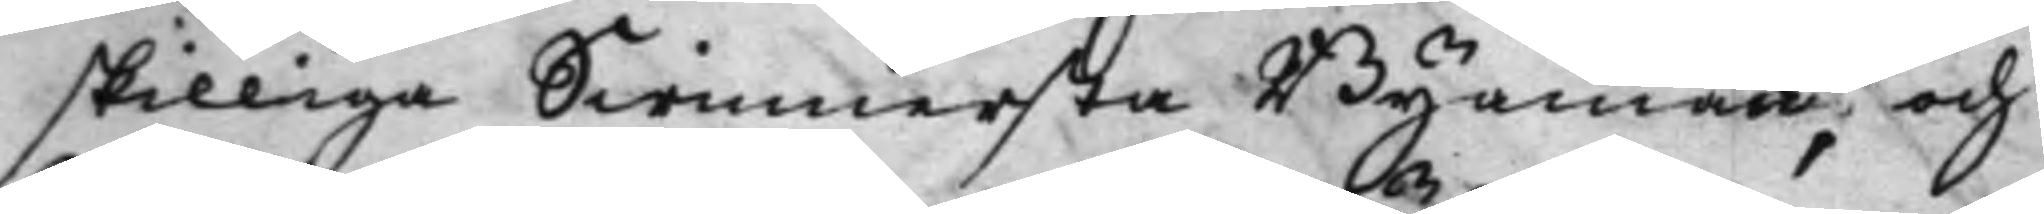skilliga Swinnersta Byamän, och
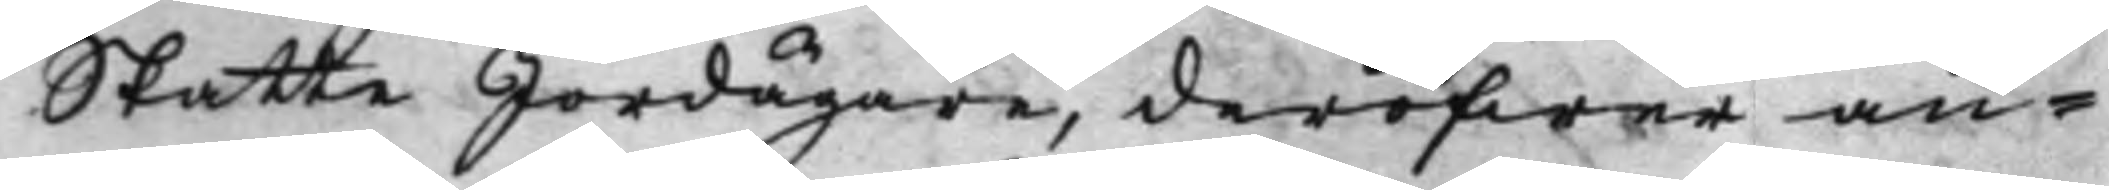Skatte Jordägare, deröfwer an¬
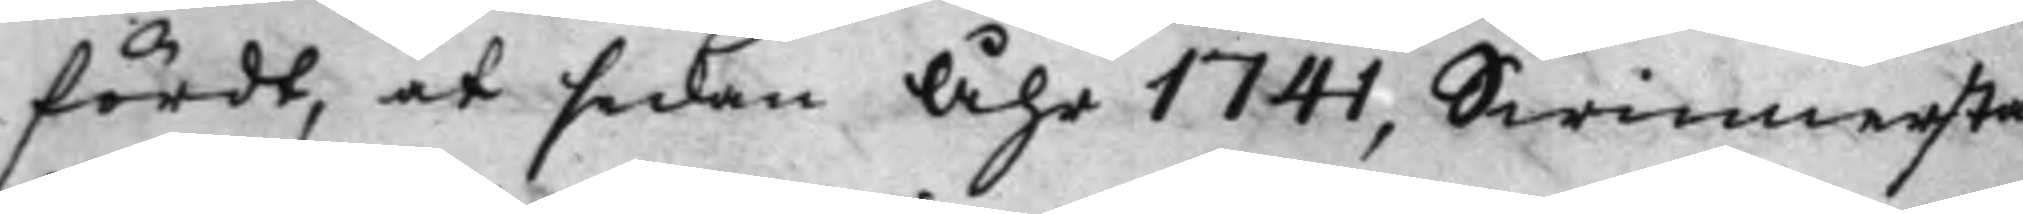fördt, at sedan åhr 1741, Swinnersta
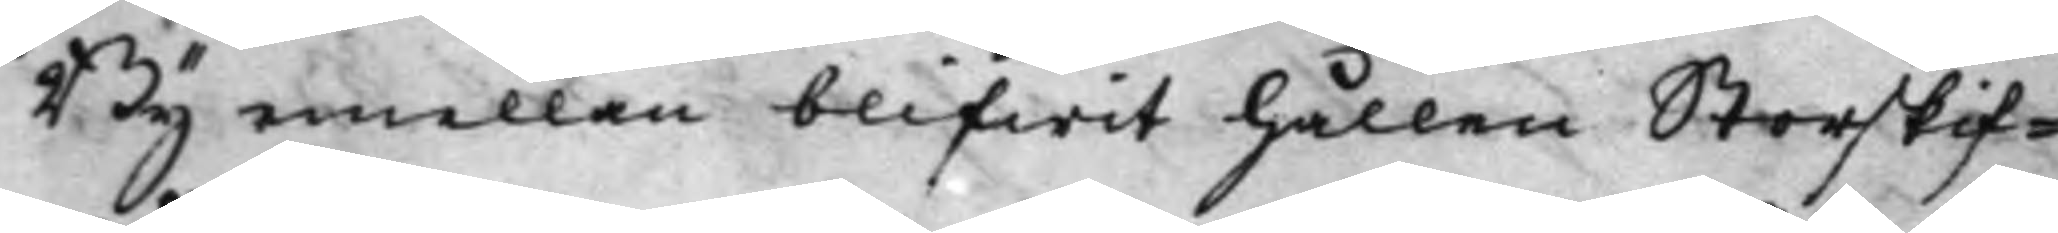By emellan blifwit hållen Storskif¬
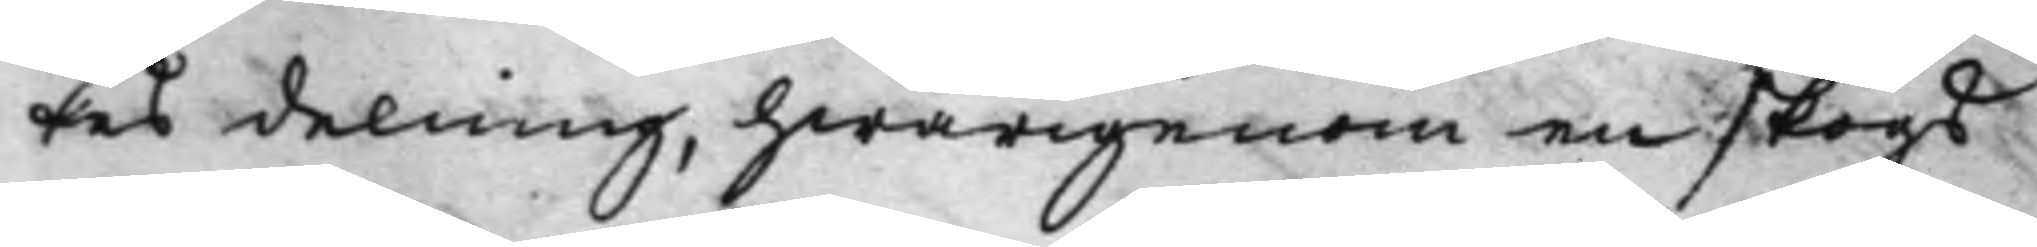tes delning, hwarigenom en skogs¬
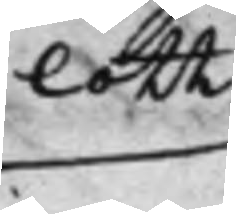lott
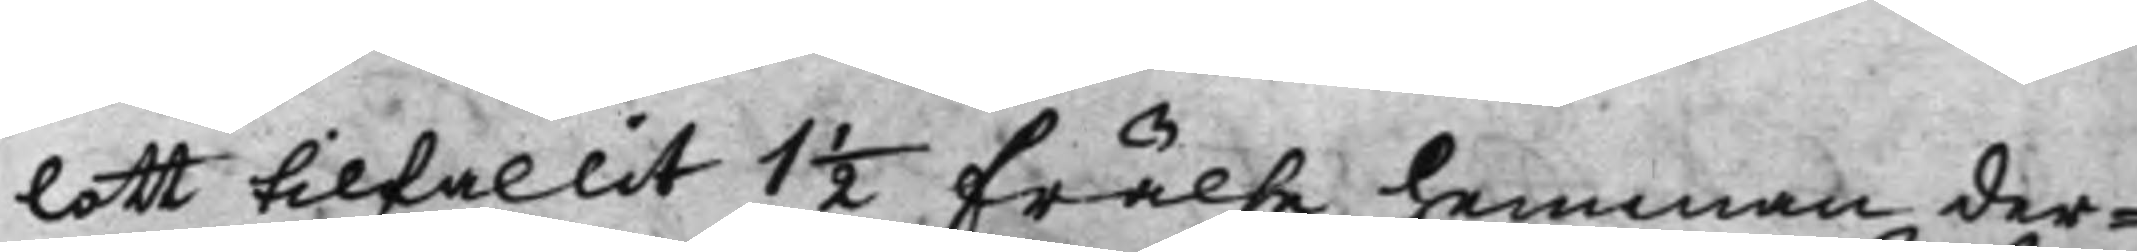lott tilfallit 1½ Frälse hemman der¬
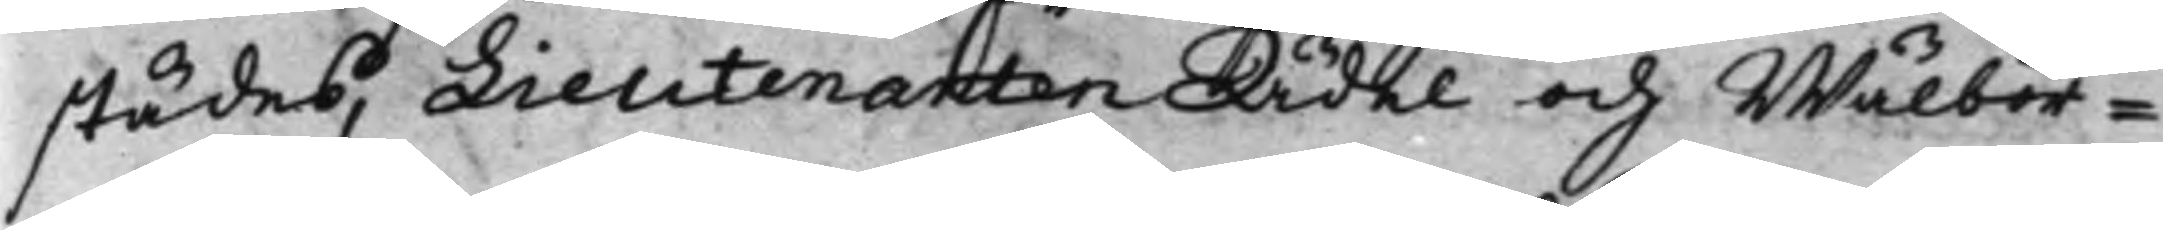städes, Lieutenanten Ädel och Wälbör¬
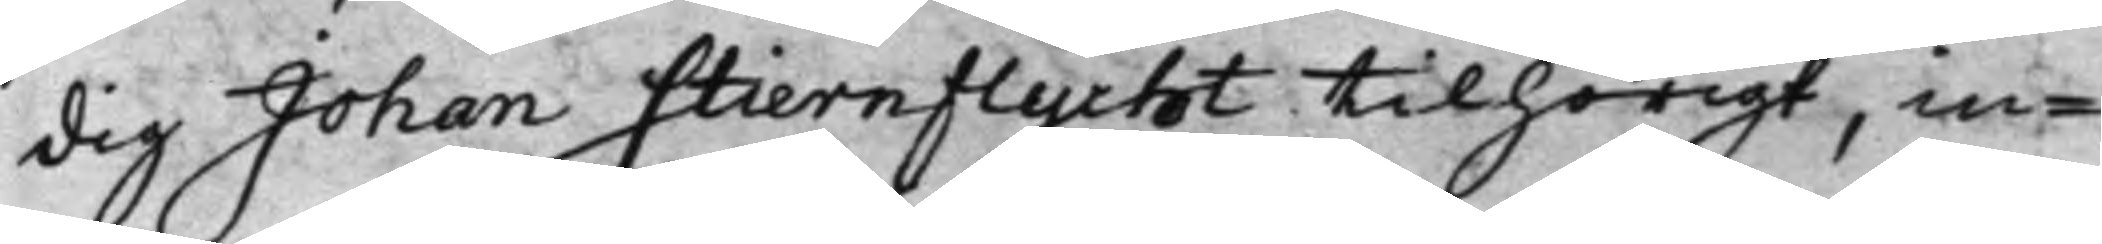dig Johan Stiernflycht tilhörigt, in¬
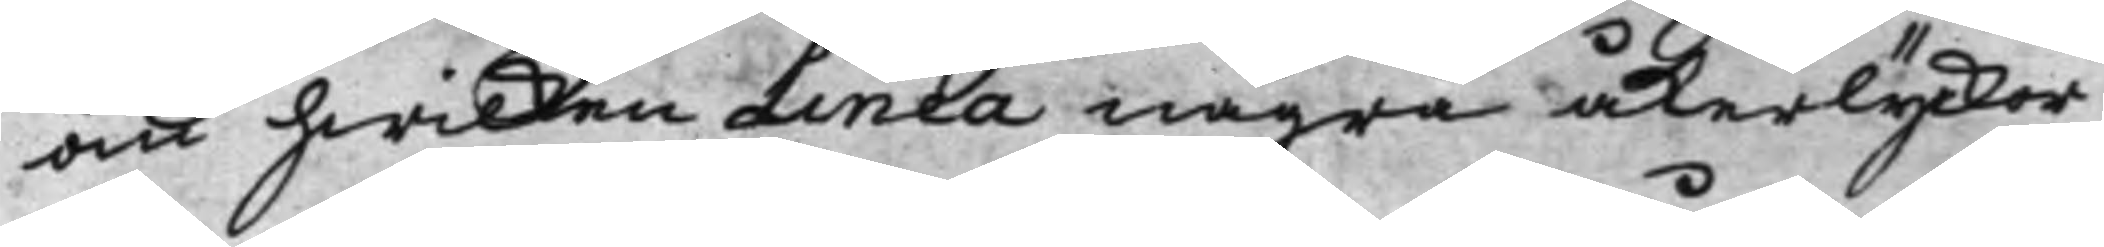om hwilken Linea några åkerlyckor
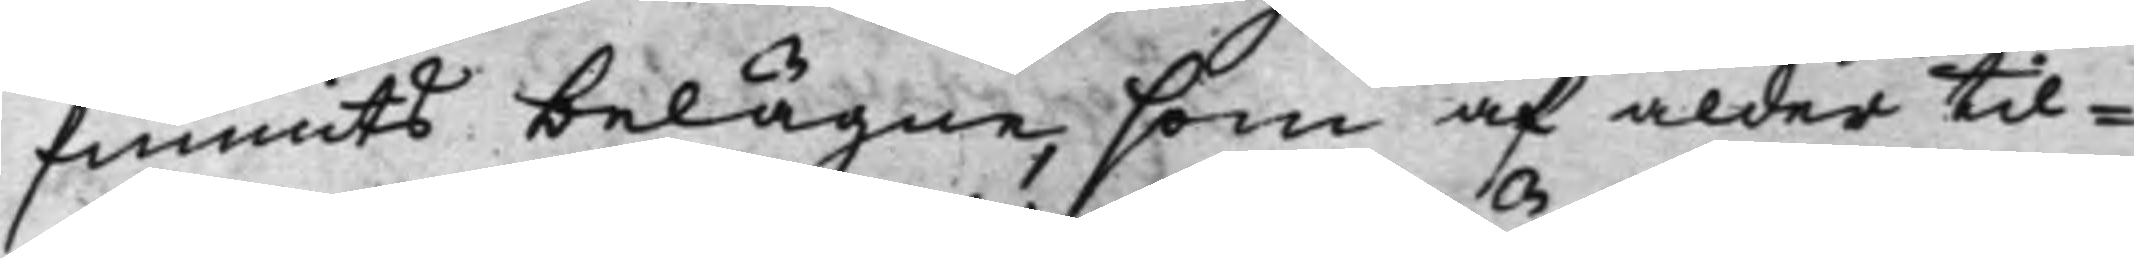funnits belägne, som af ålder til¬
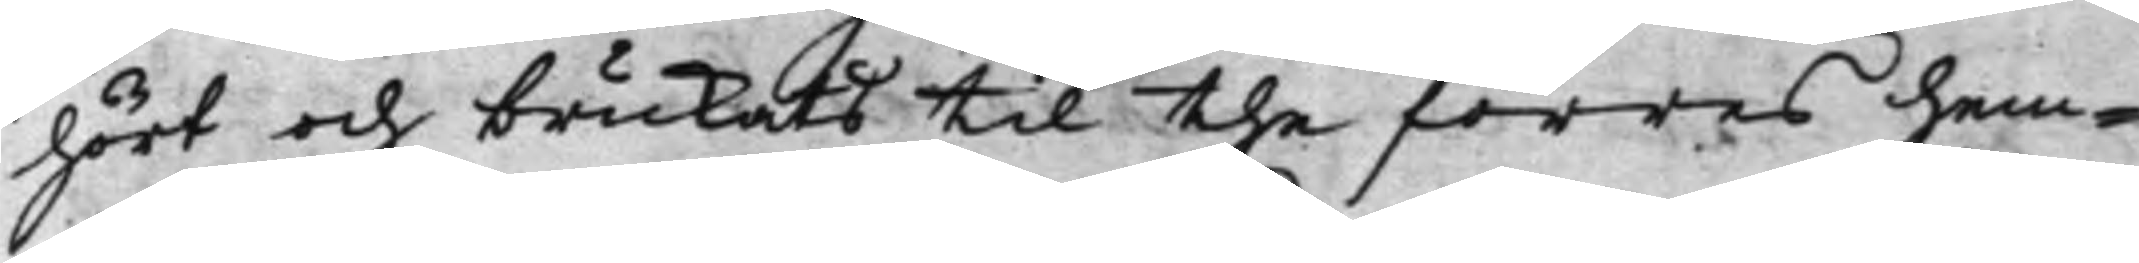hört och brukats til the förres hem¬
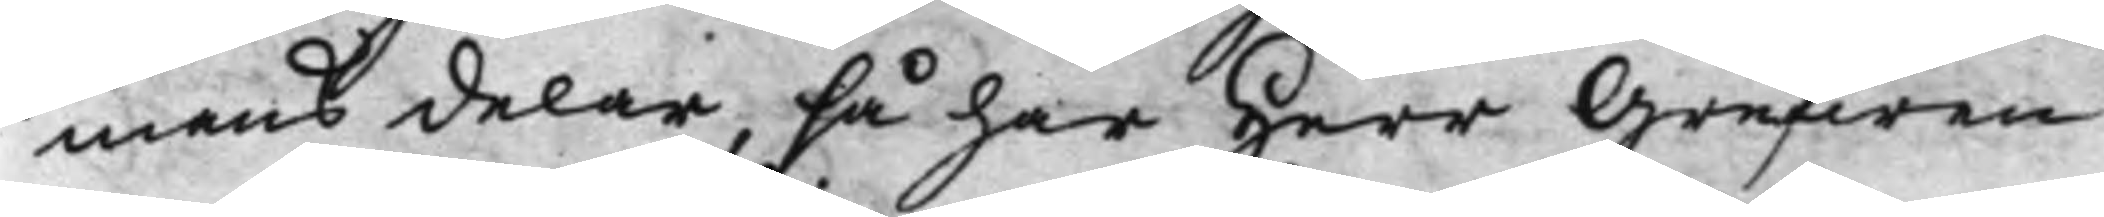mans delar, så har Herr Grefwen
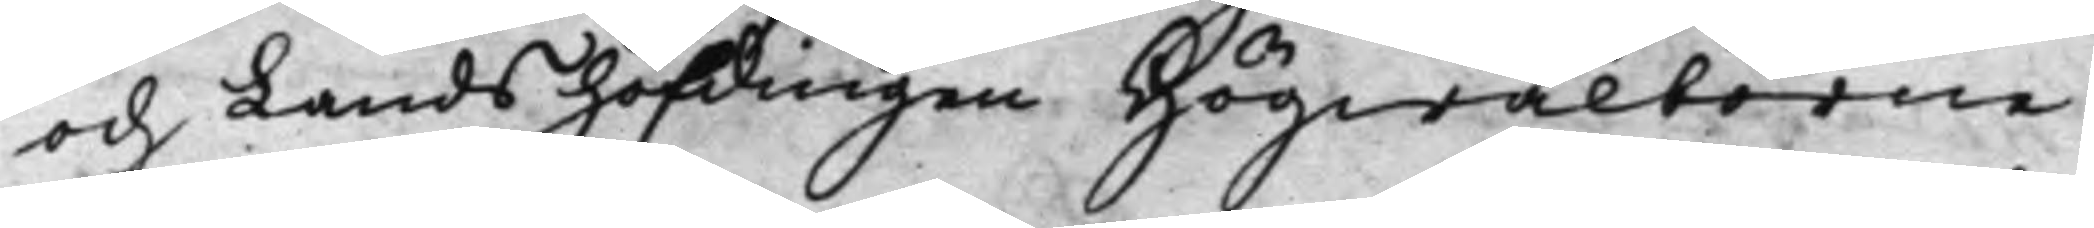och Landshöfdingen Högwälborne
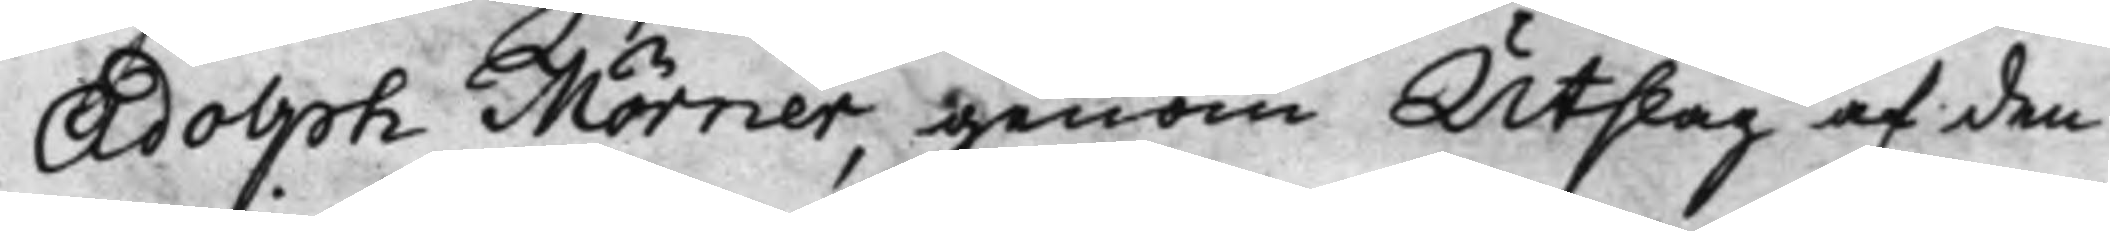Adolph Mörner, genom Utslag af den
